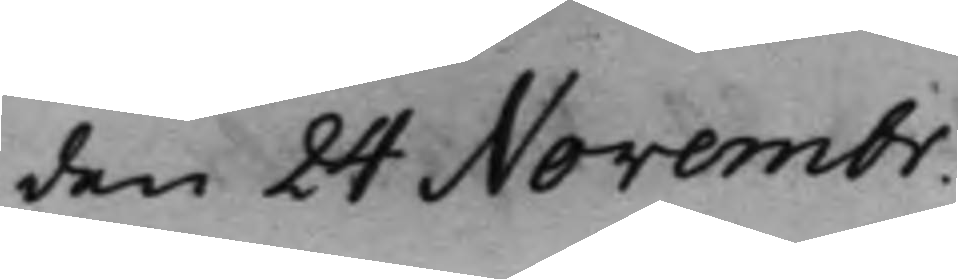den 24 Novembr.
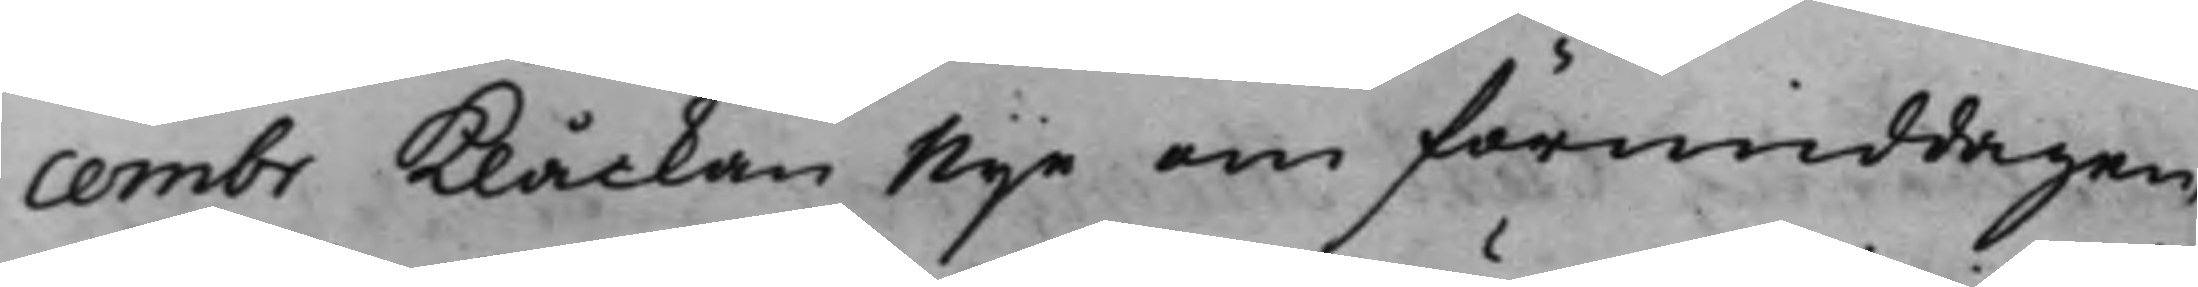cembr Klåckan Nije om förmiddagen,
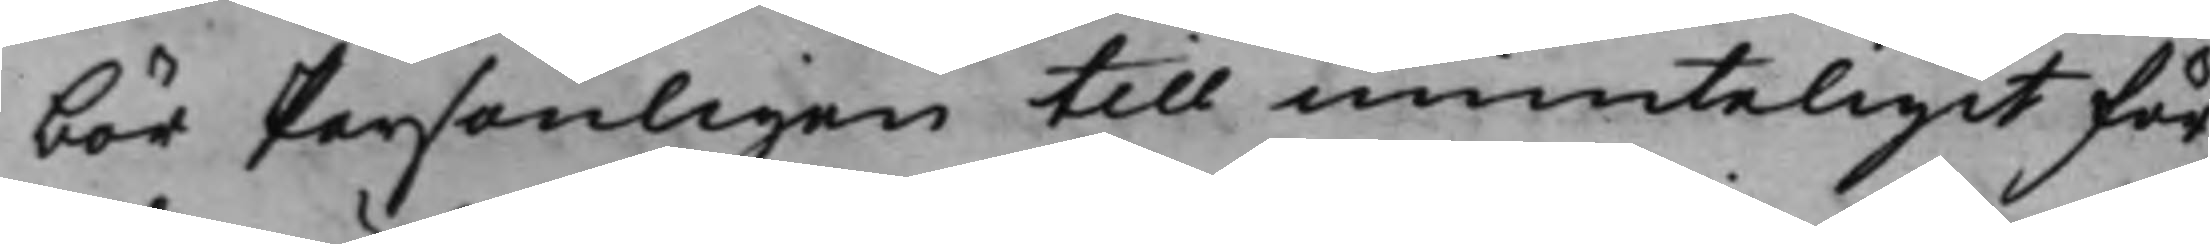bör Personligen till munteligit för¬
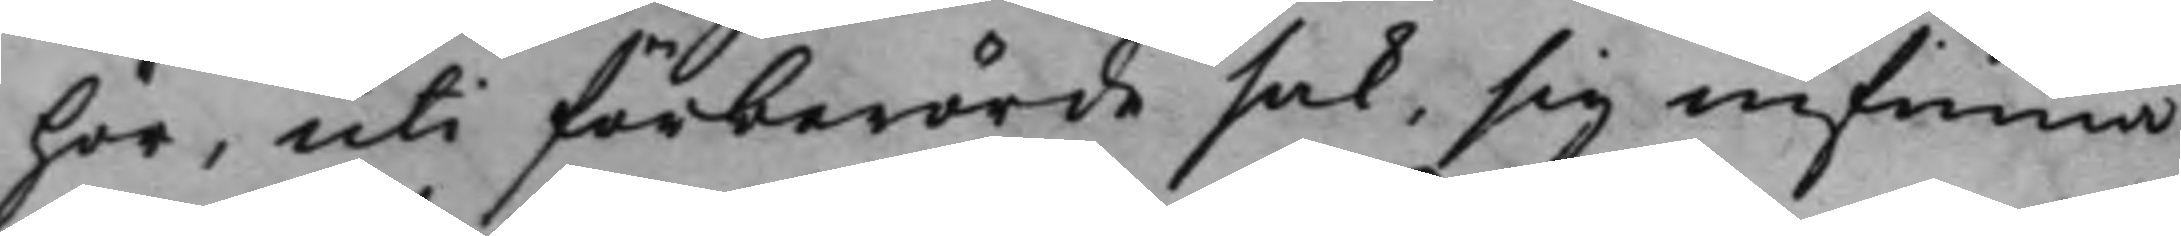hör, uti förberörde sak, sig infinna.
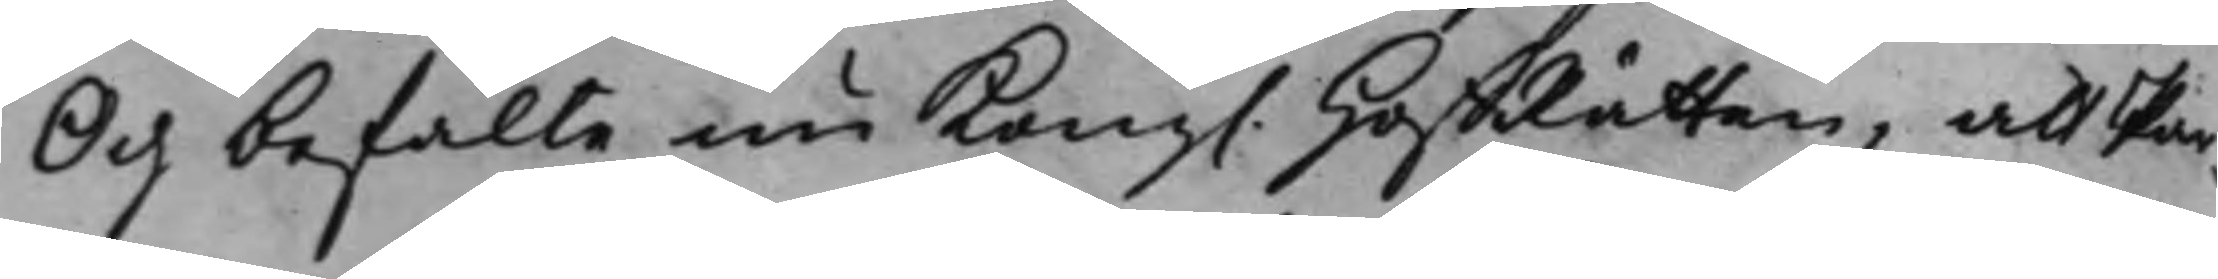Och befalte nu Kong. HoffRätten, att Par¬
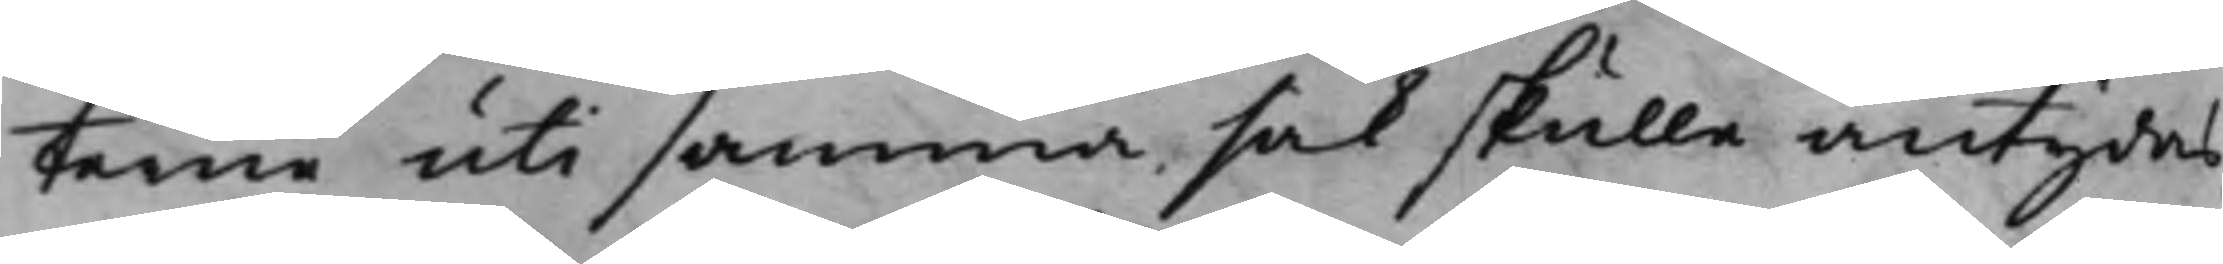terne uti samma sak skulle antydas,
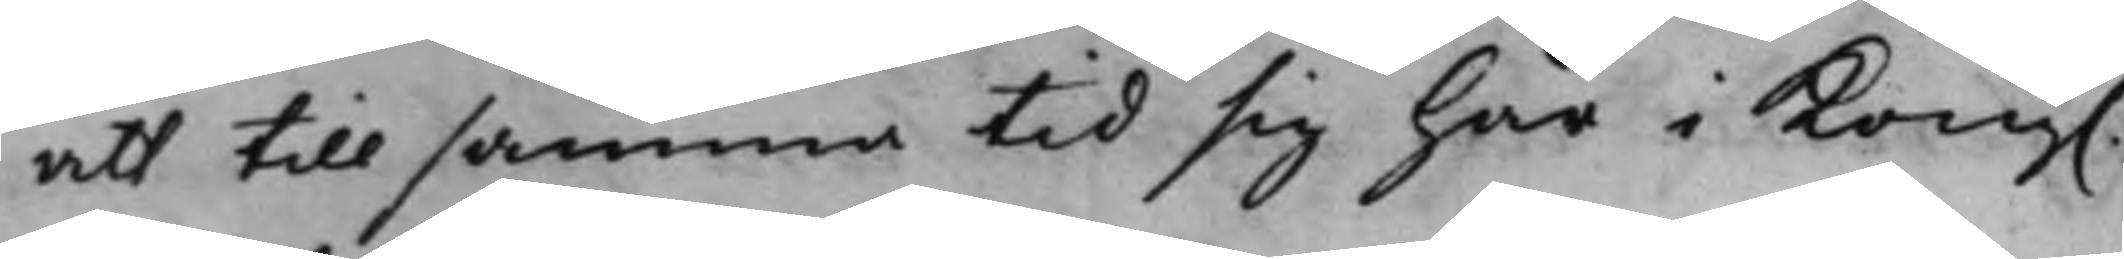att till samma tid sig här i Kong.
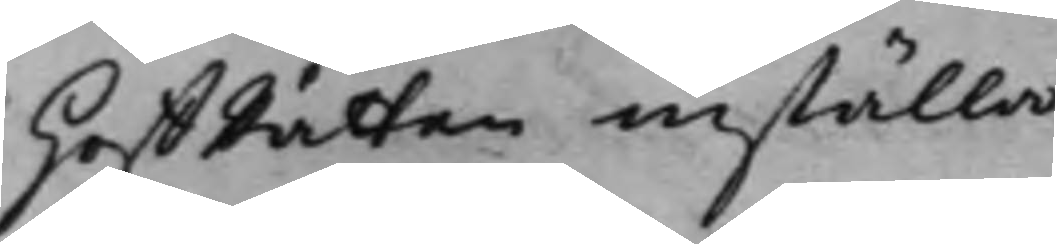HoffRätten inställa.
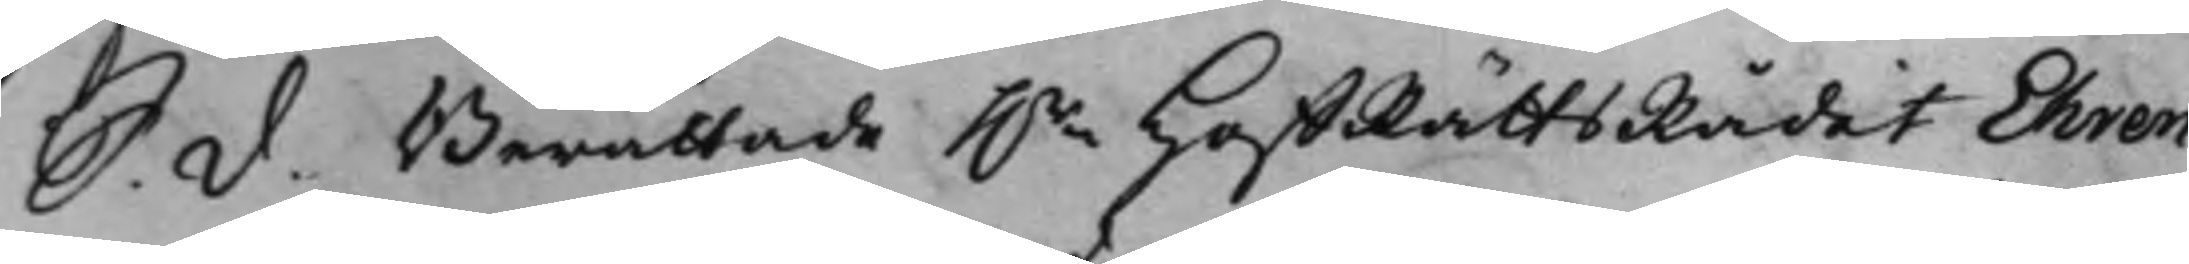S. d. Berättade h.r HoffRättsRådet Ehren¬
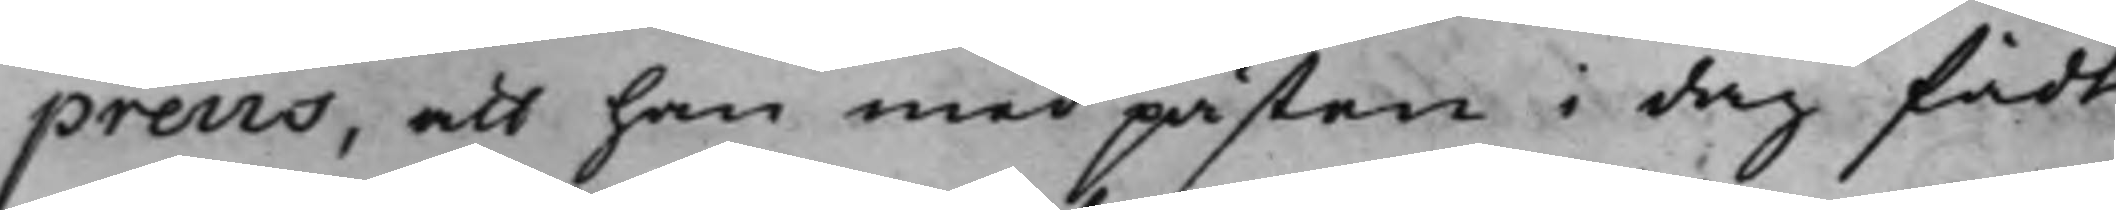preus, att han med påsten i dag fådt
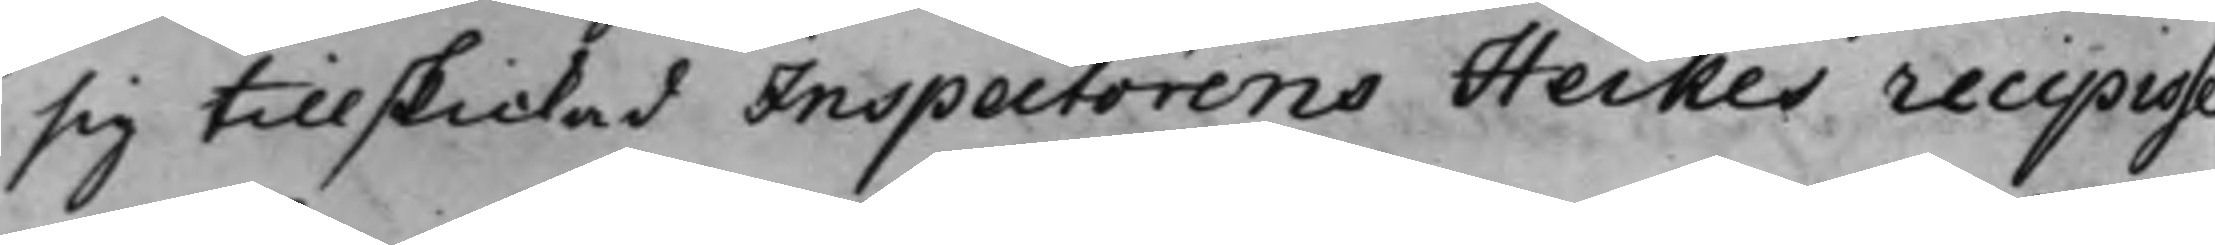sig tillskickad Inspectorens Heikes recipisse,
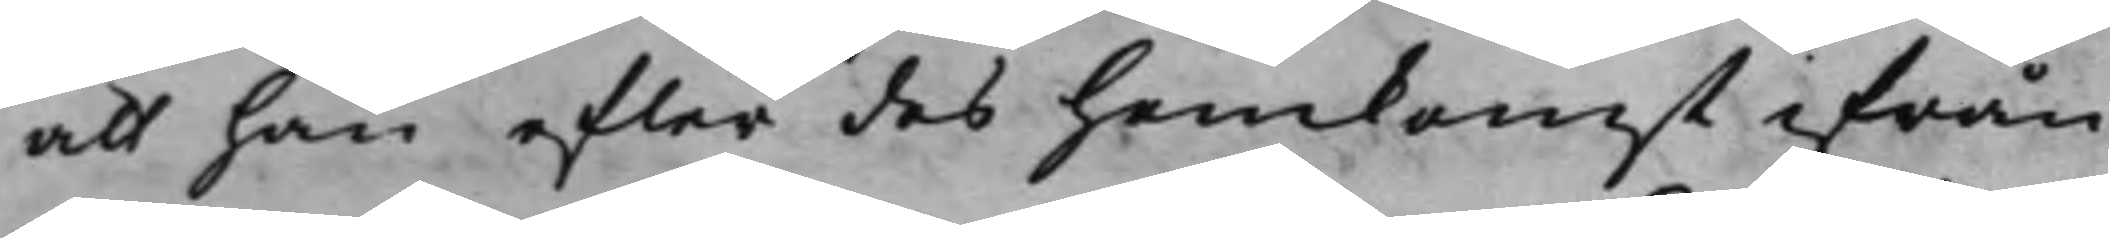att han efter des hemkomst ifrån
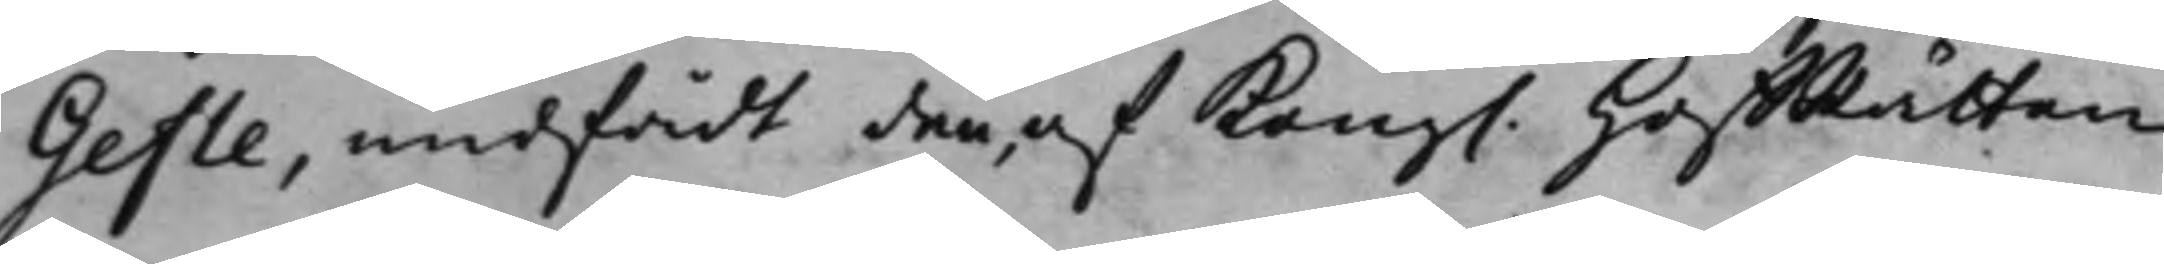Gefle, undfådt den, af Kong. HoffRätten
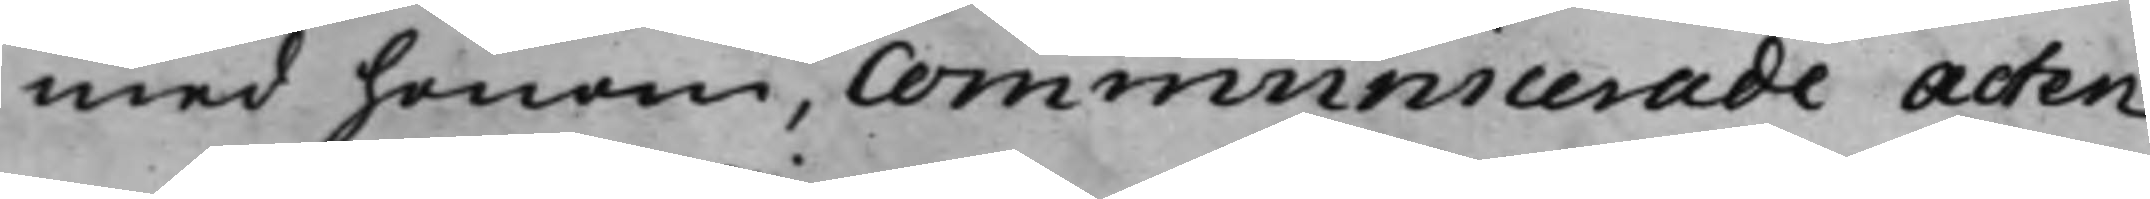med honom, communicerade Acten,
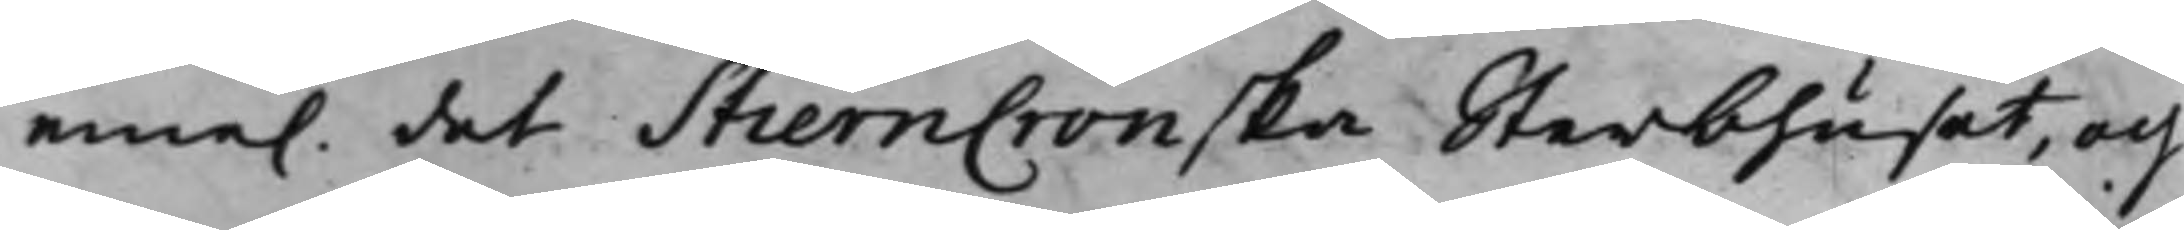eme. det StiernCronska Sterbhuset, och
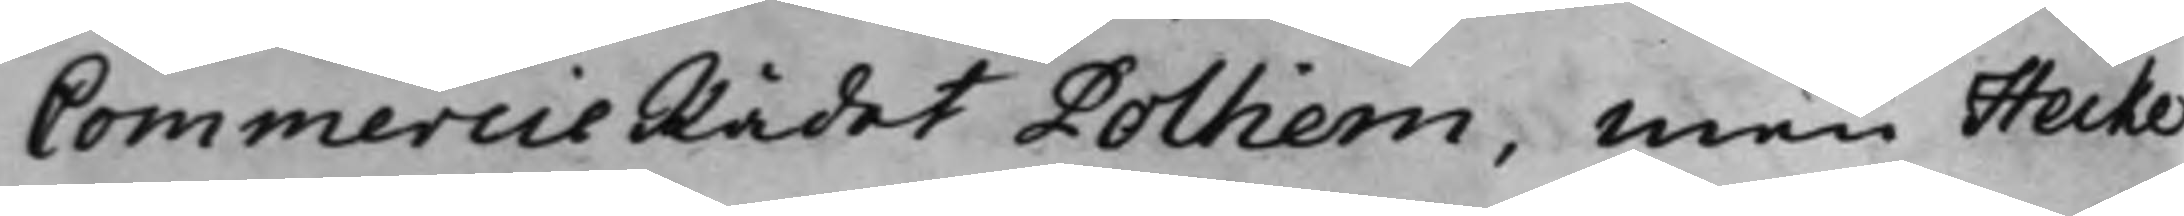CommercieRådet Polhem, Men Heike
